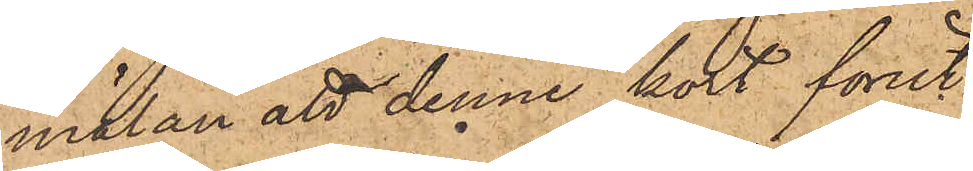mälan att denne kort förut
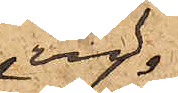vid
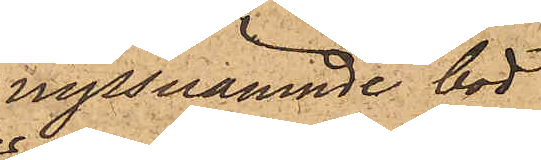nyssnämnde bod
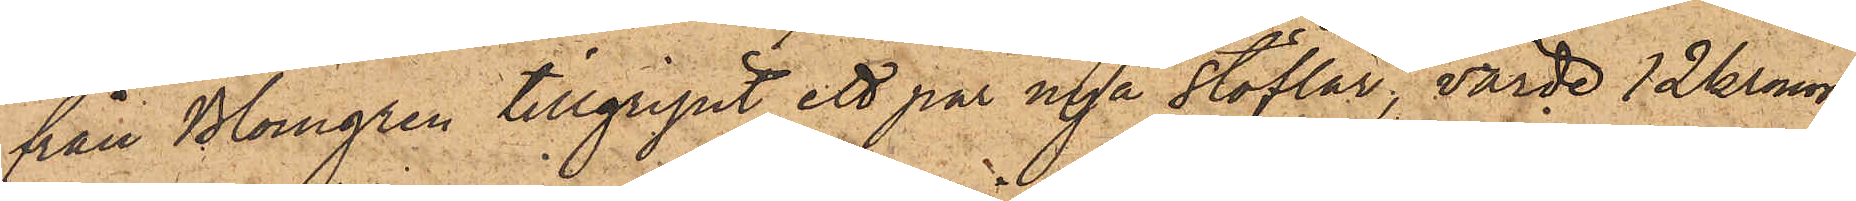från Blomgren tillgripit ett par nya stöflar, värde 12 Kronor,
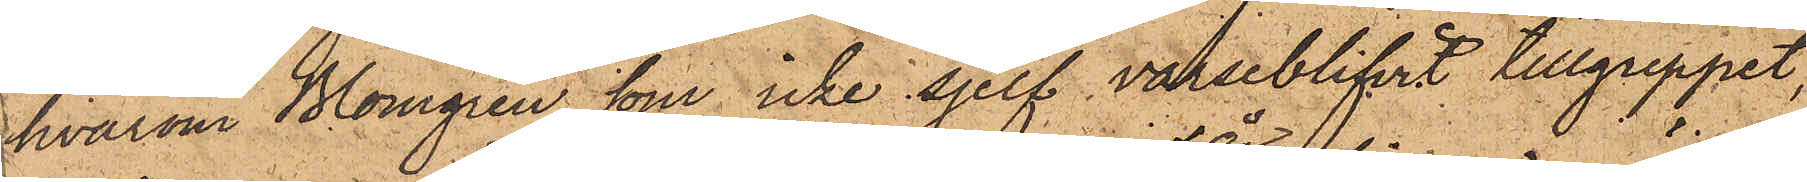hvarom Blomgren, som icke sjelf varseblifvit tillgreppet,
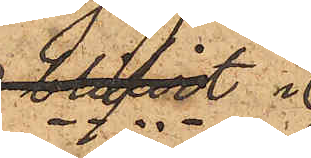blifvit i
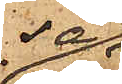så
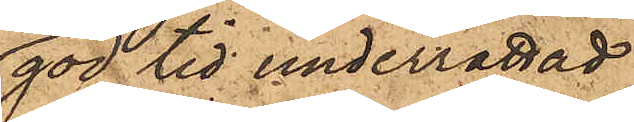god tid underrättad
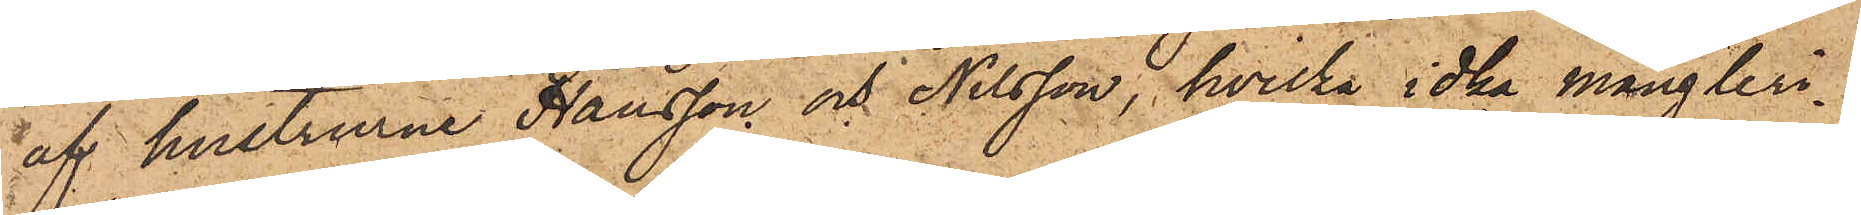af hustrurne Hansson och Nilsson, hvilka idka mångleri¬
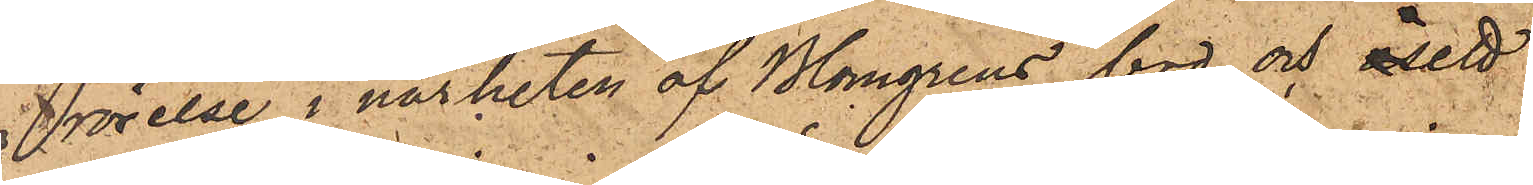rörelse i närheten af Blomgrens bod och åsett
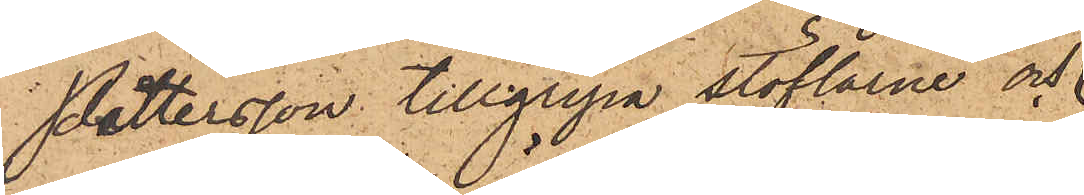Pettersson tillgripa stöflarne och
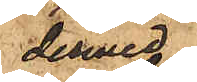dermed
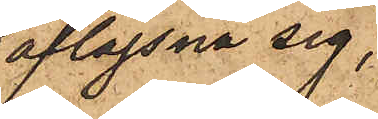aflägsna sig,
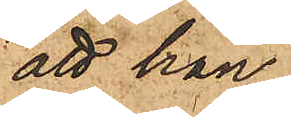att han
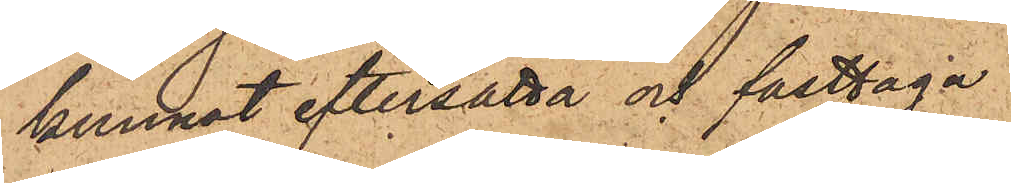kunnat eftersätta och fasttaga
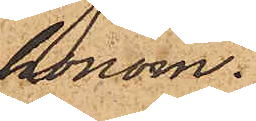honom.
